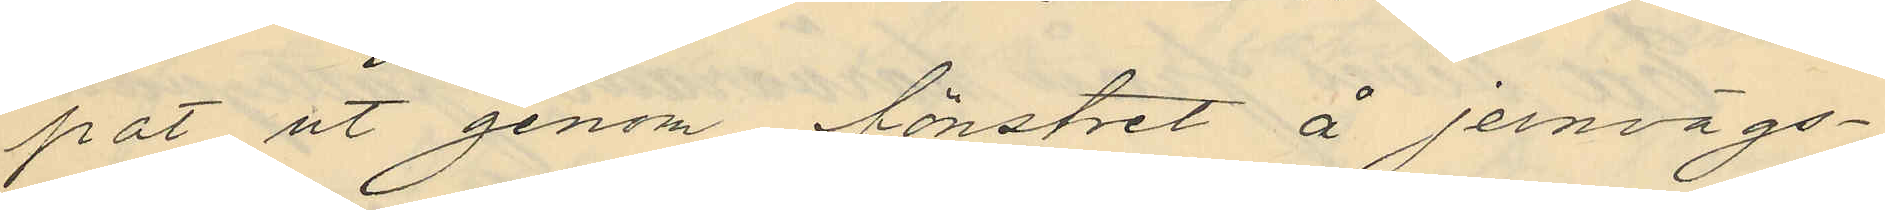pat ut genom fönstret å jernvägs¬
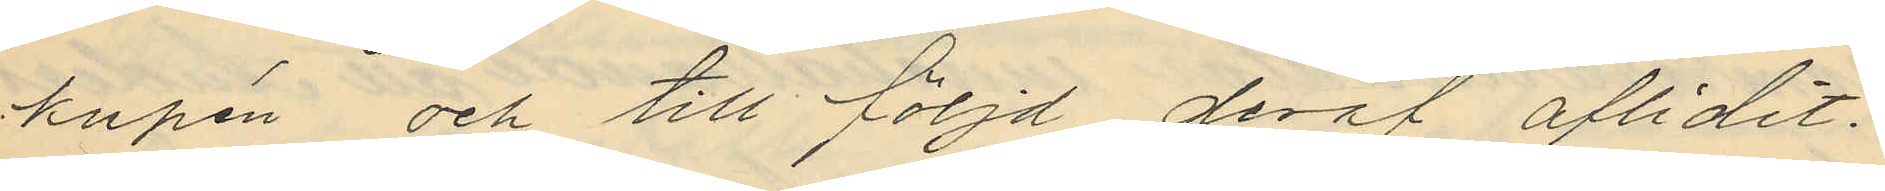kupén och till följd deraf aflidit.
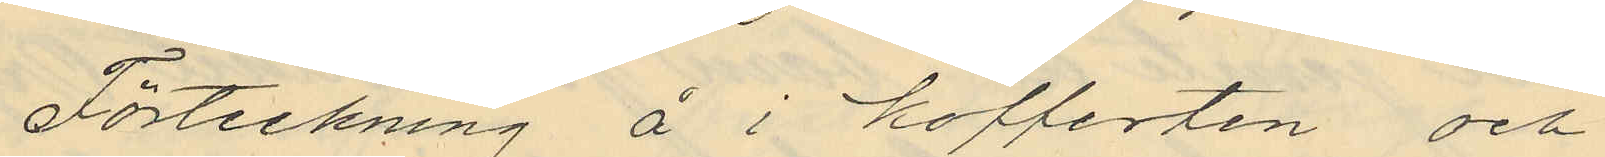Förteckning å i kofferten och
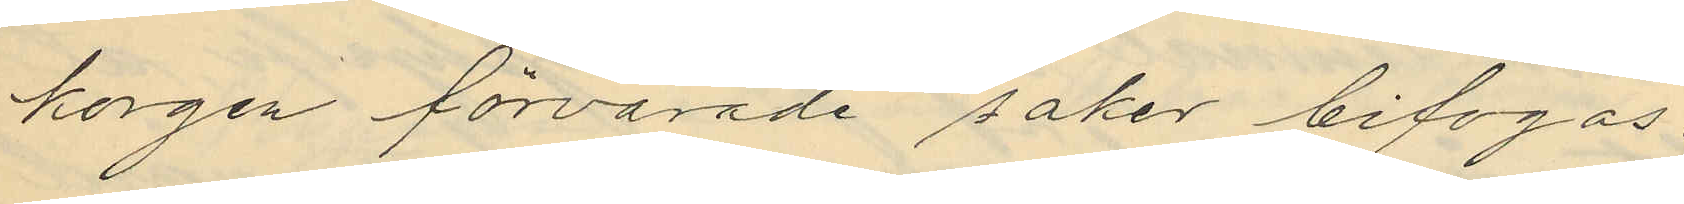korgen förvarade saker bifogas.
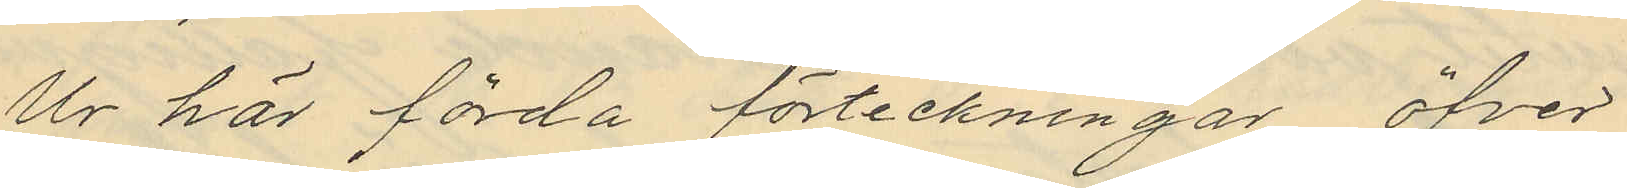Ur här förda förteckningar öfver
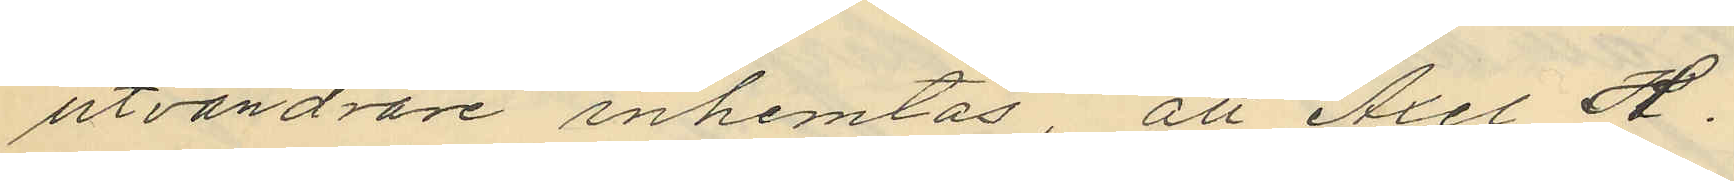utvandrare inhemtas, att Axel H.
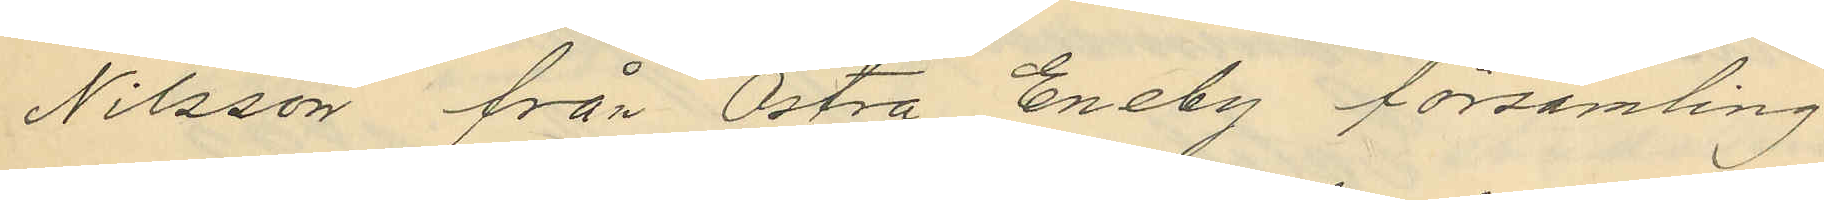Nilsson från Östra Eneby församling
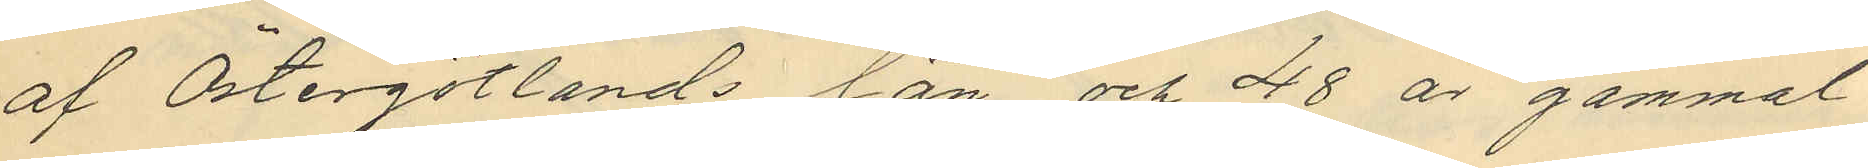af Östergötlands län och 48 år gammal
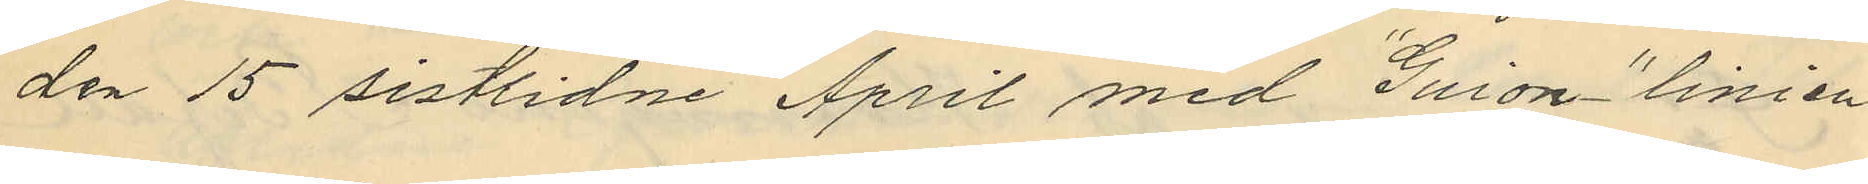den 15 sistlidne April med "Guion" linien
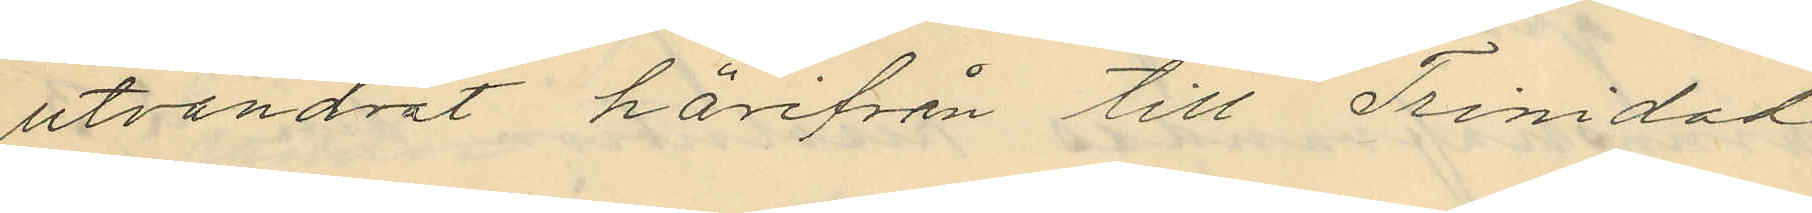utvandrat härifrån till Trinidad
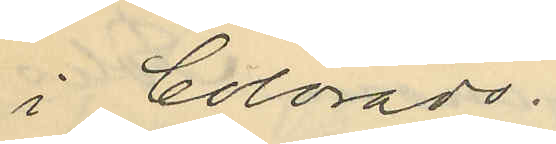i Colorado.
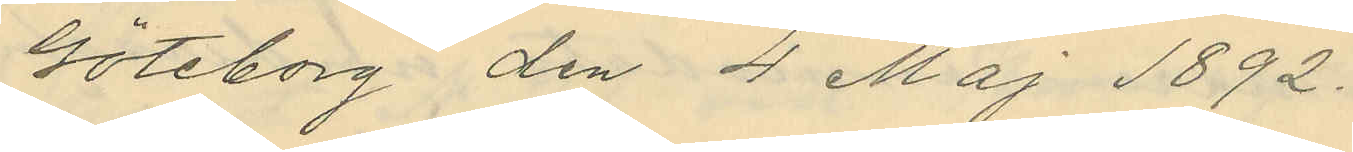Göteborg den 4 Maj 1892.
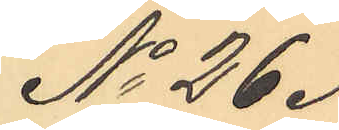No 26.
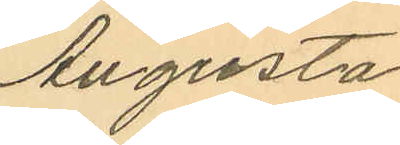Augusta
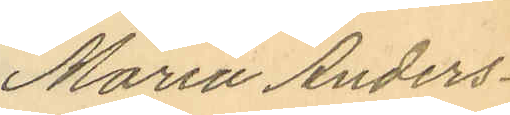Maria Anders¬
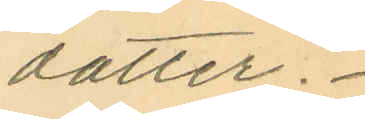dotter.
